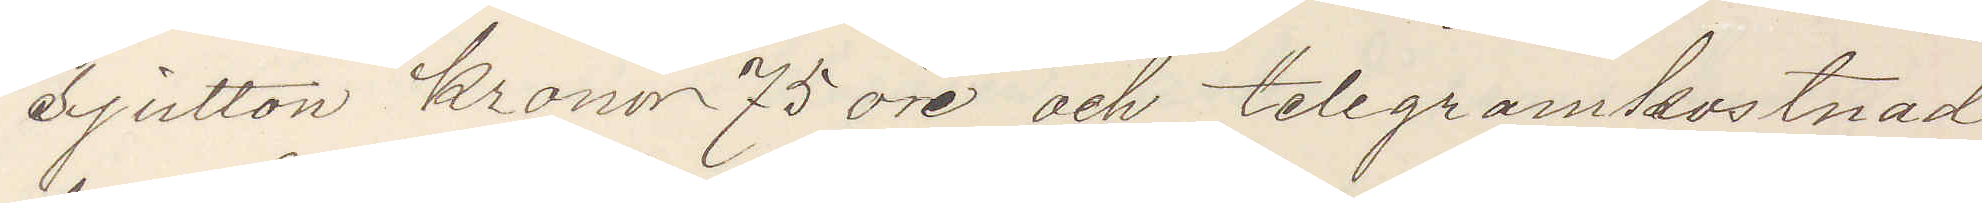sjutton kronor 75 öre och telegramkostnad
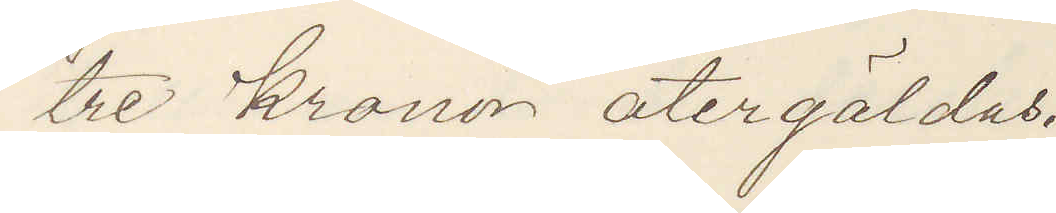tre kronor återgäldas.
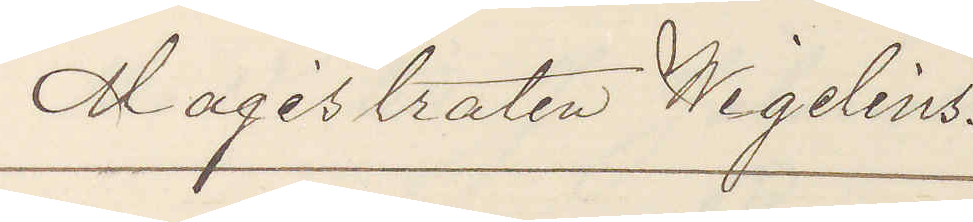Magistraten Wigelius.
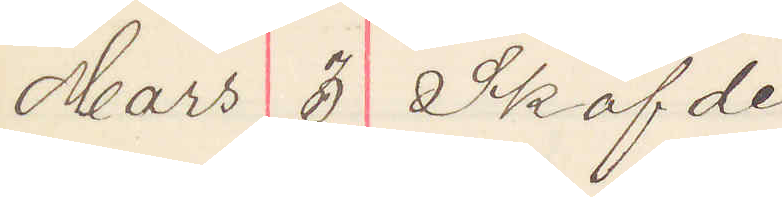Mars 3 Sköfde
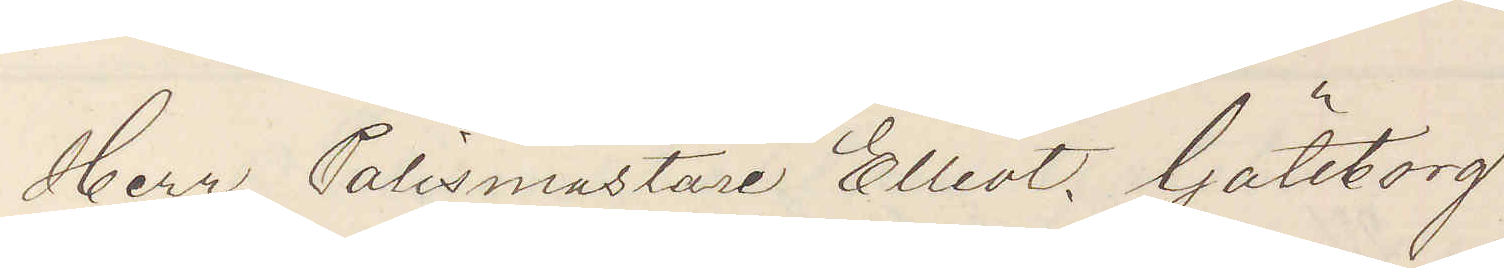Herr Polismästare Elliot. Göteborg.
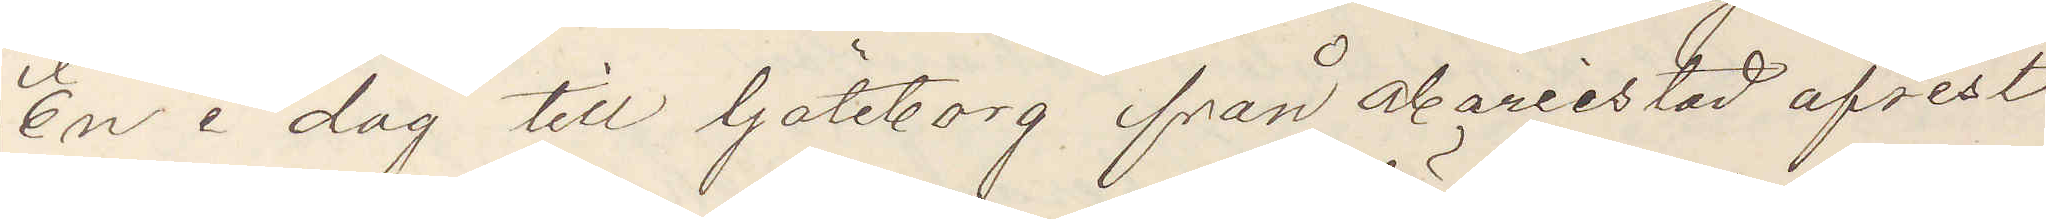En i dag till Göteborg från Mariestad afrest
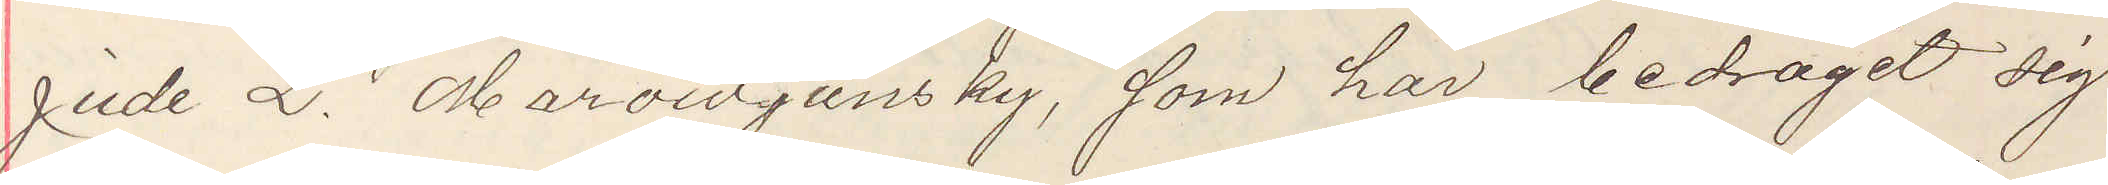jude L. Marowjansky, som här bedragit sig
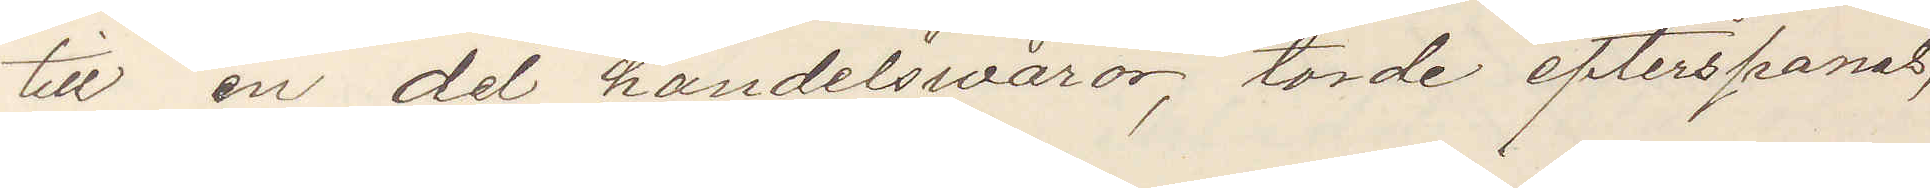till en del handelswaror, torde efterspanas,
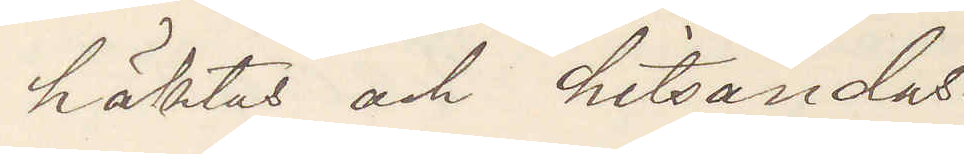häktas och hitsandas.
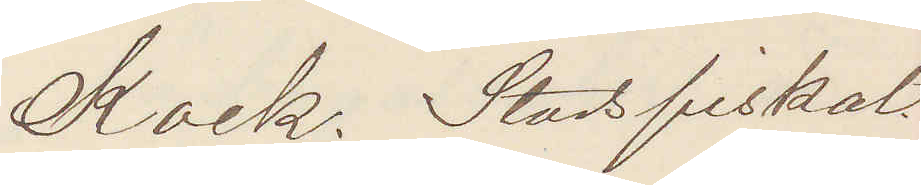Kock. Stadsfiskal
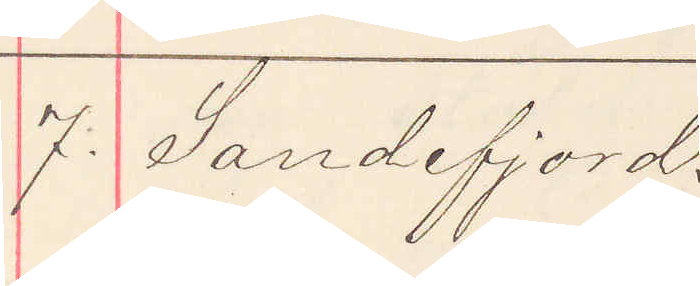7. Sandefjord.
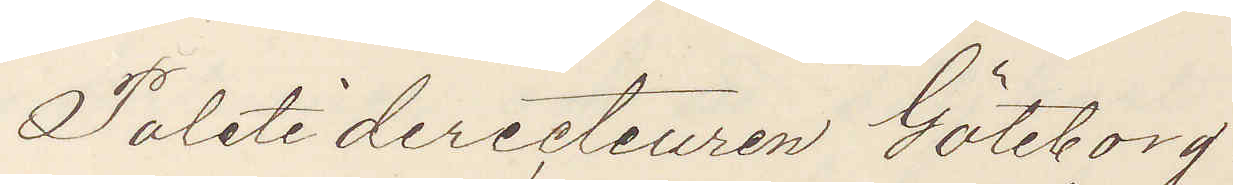Politidirecteuren Göteborg.
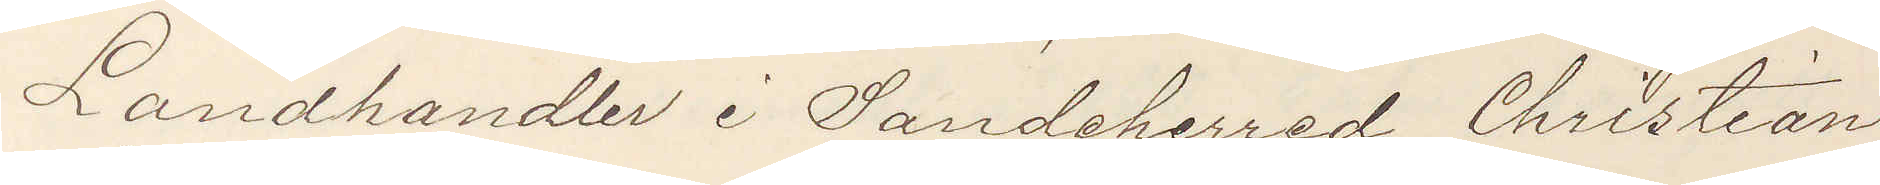Landhandler i Sandeherred Christian
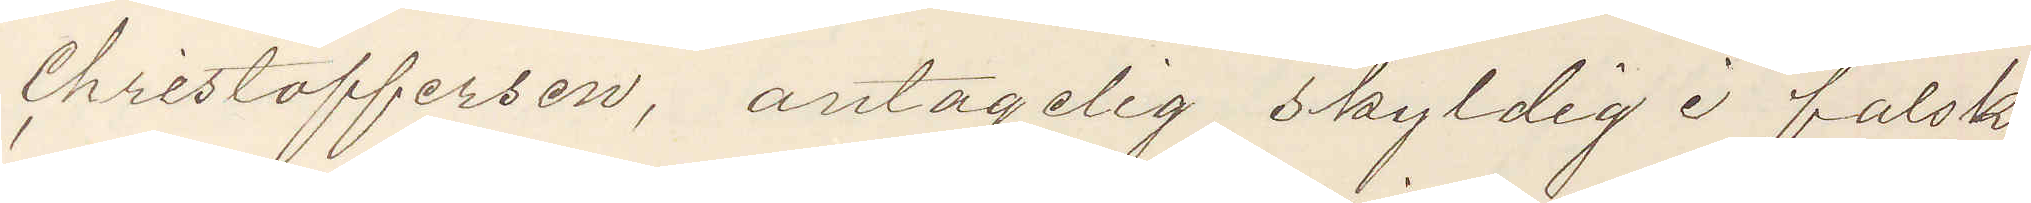Christoffersen, antagelig skyldig i falsk,
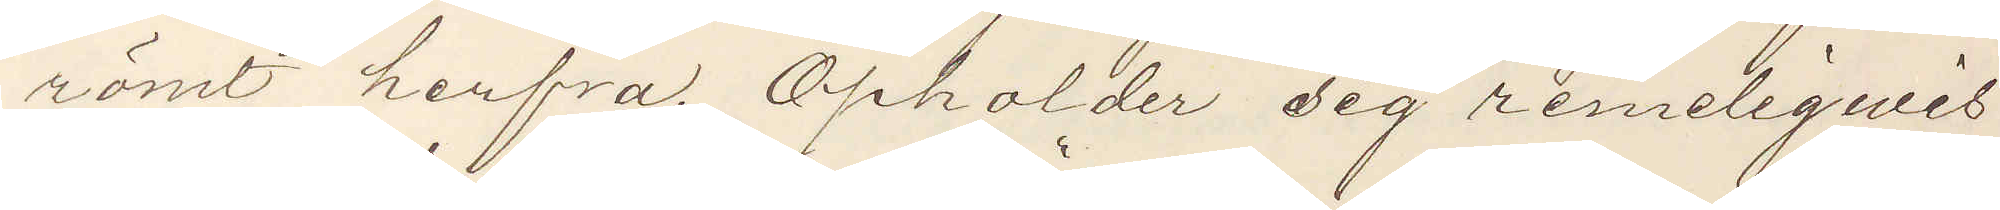römt herfra. Opholder sig remeligwis
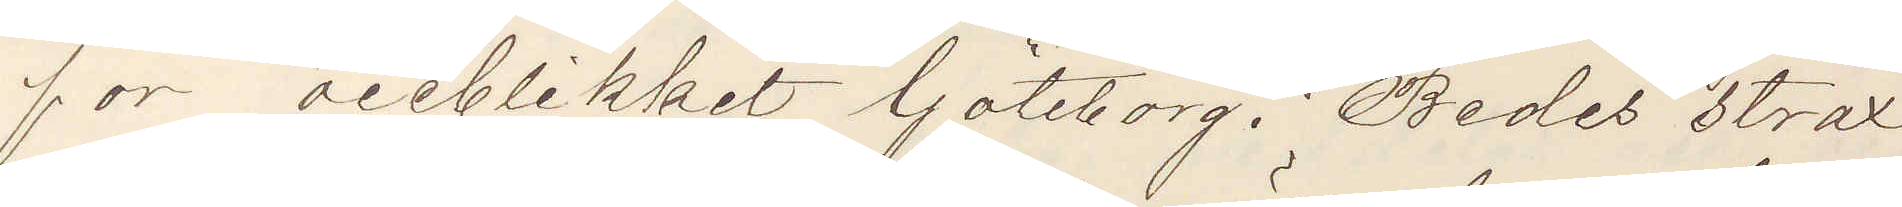for öieblikket Göteborg. Bedes strax
